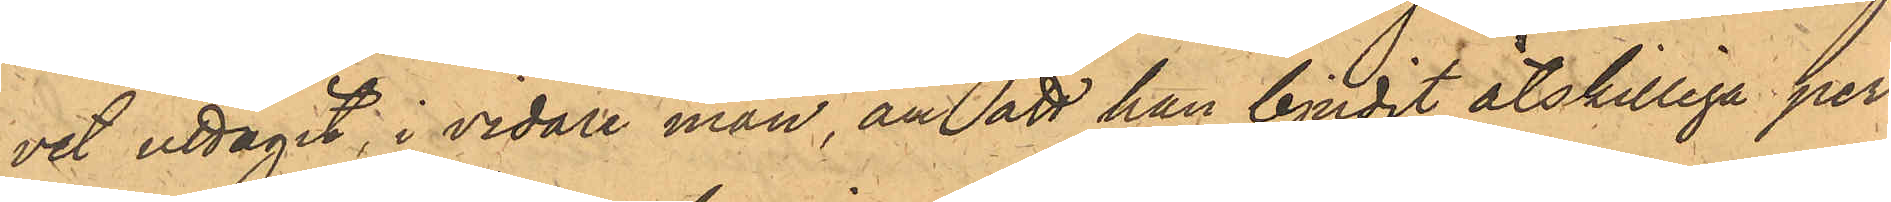vet uttagit, i vidare mån, än att han bjudit åtskilliga per¬
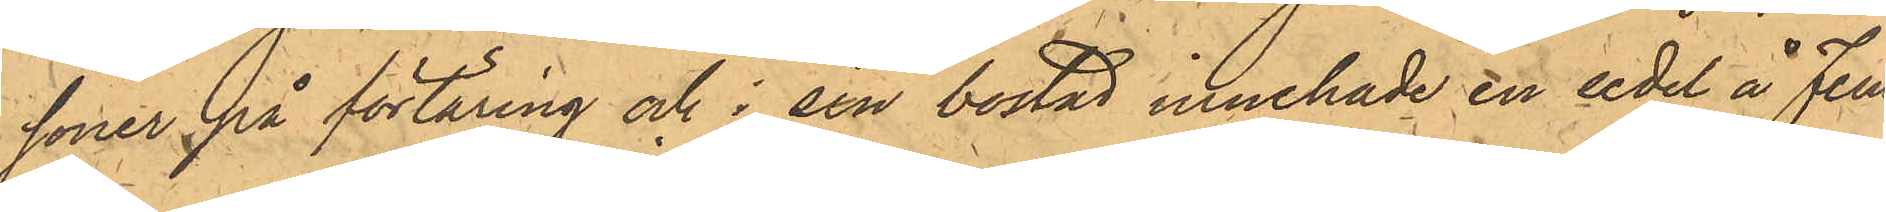soner på förtäring och i sin bostad innehade en sedel å Fem
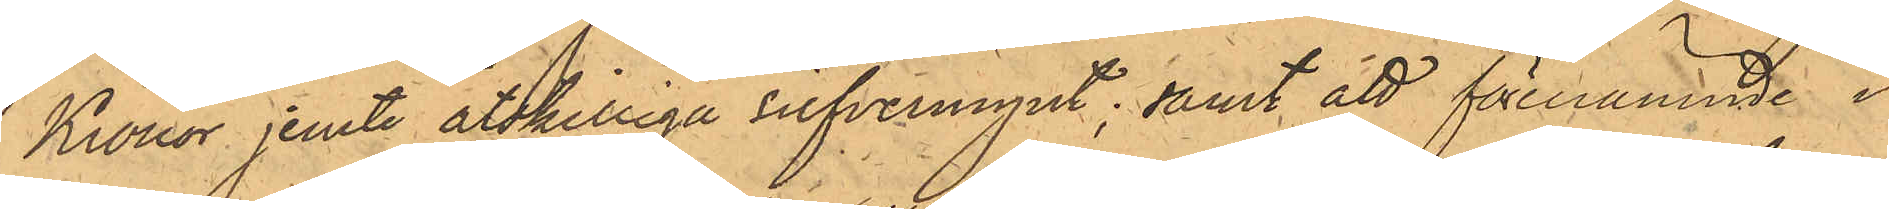Kronor jemte åtskilliga silfvermynt; samt att förenämnde i
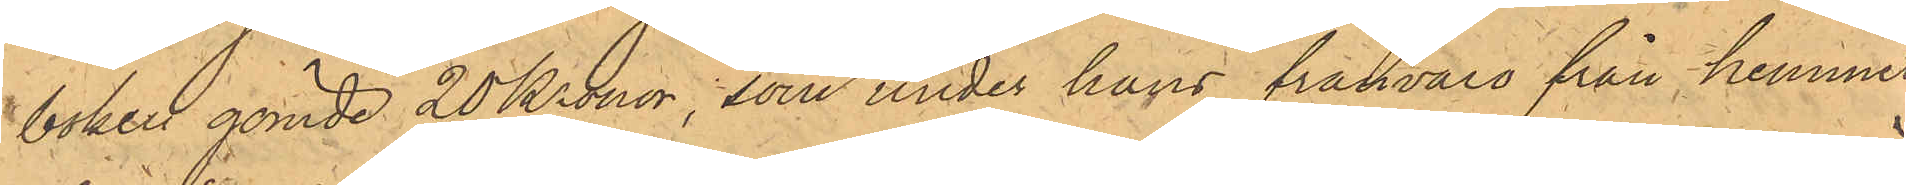boken gömde 20 Kronor, som under hans frånvaro från hemmet
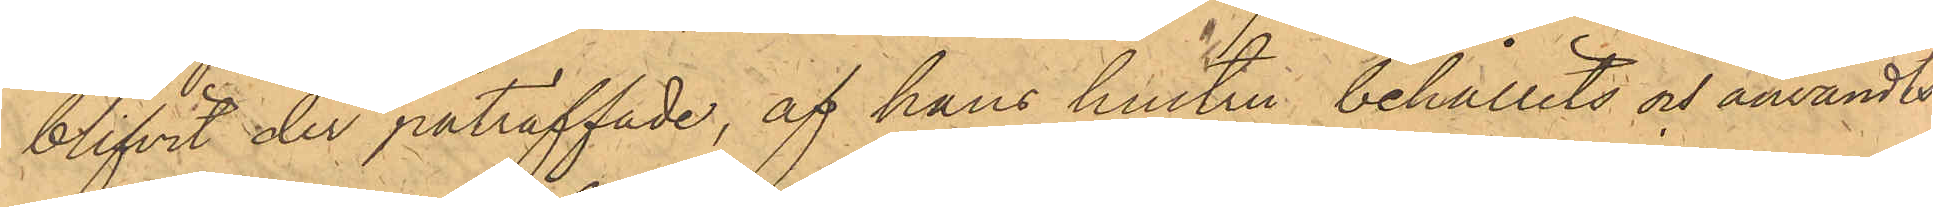blifvit der påträffade, af hans hustru behållits och användts.
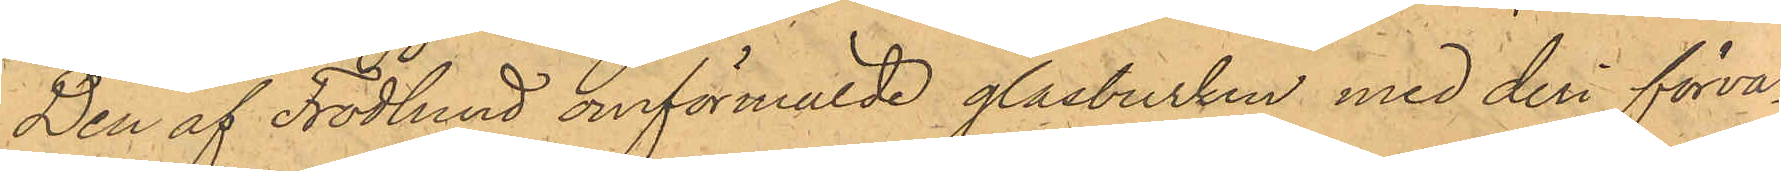Den af Frodlund omförmälde glasburken med deri förva¬
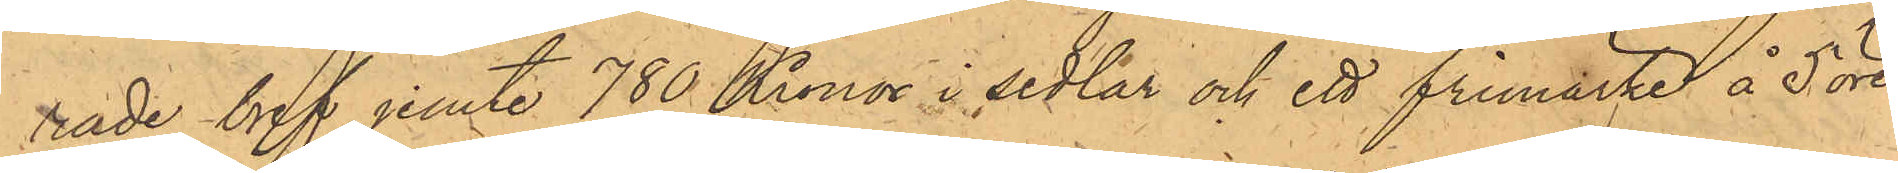rade bref jemte 780 Kronor i sedlar och ett frimärke å 5 öre
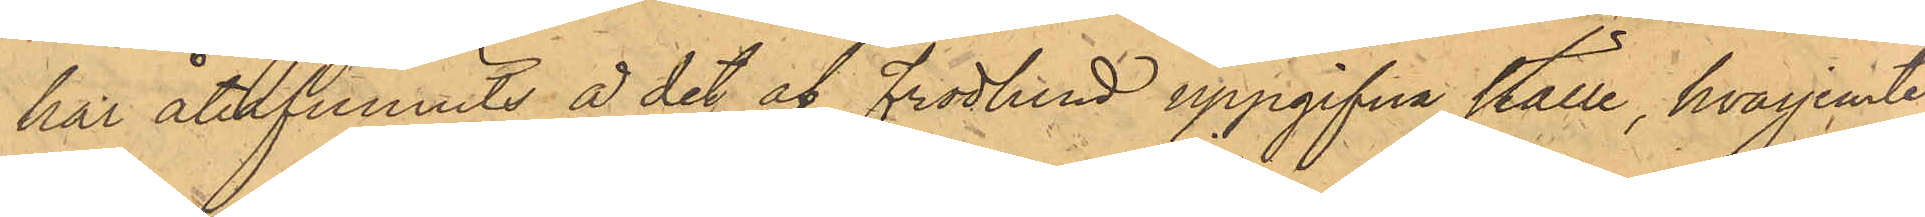har återfunnits å det af Frodlund uppgifna ställe, hvarjemte
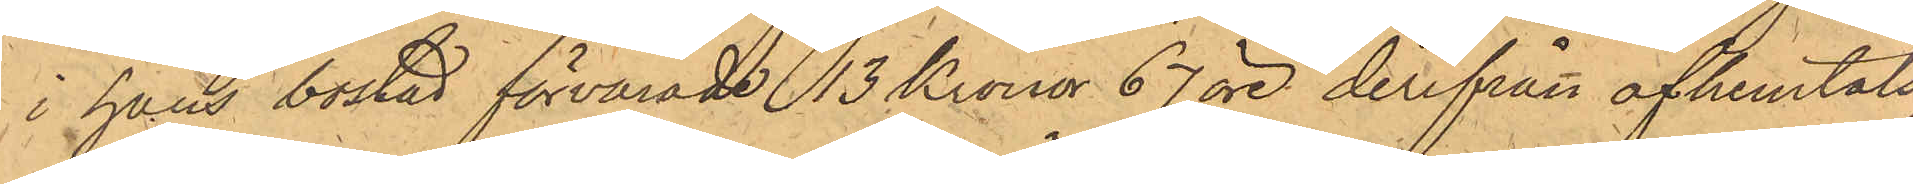i hans bostad förvarade 13 Kronor 67 öre, derifrån afhemtats
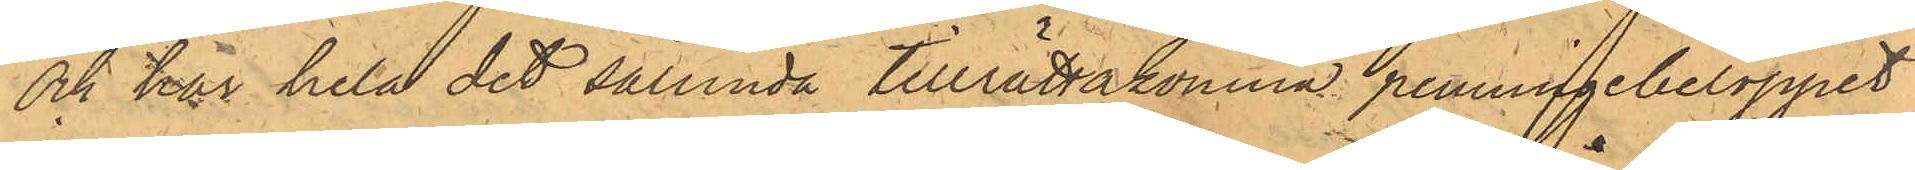och har hela det sålunda tillrättakomna penningebeloppet
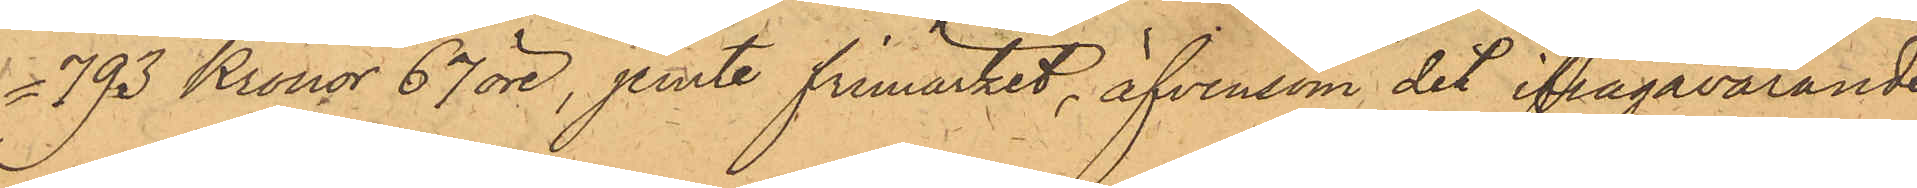793 Kronor 67 öre, jemte frimärket, äfvensom det ifrågavarande
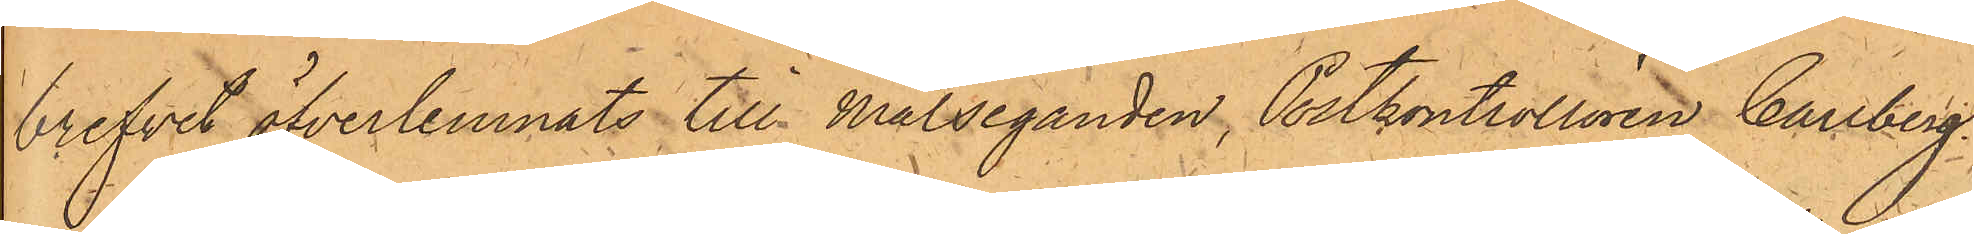brefvet öfverlemnats till Målseganden, Postkontrollören Carlberg.
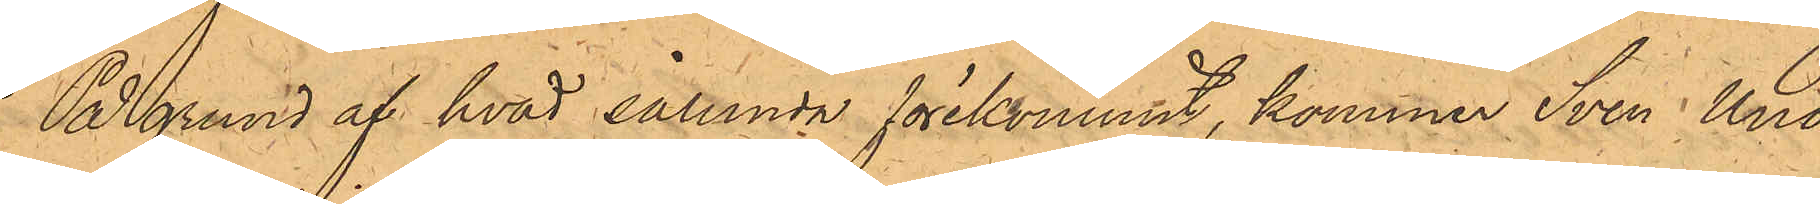På grund af hvad sålunda förekommit, kommer Sven Uno
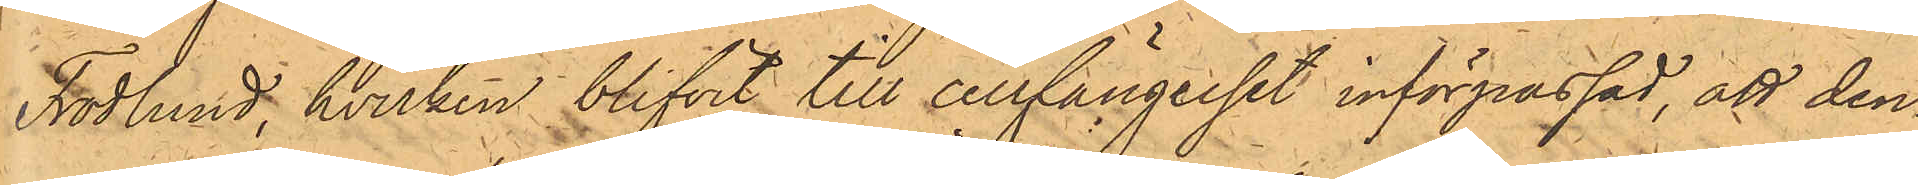Frodlund, hvilken blifvit till cellfängelset införpassad, att den¬
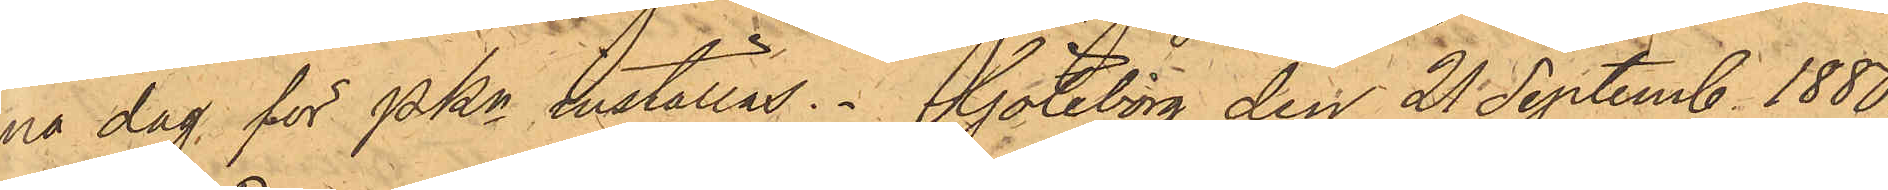na dag för PKn inställas. Göteborg den 21 Septemb 1880.
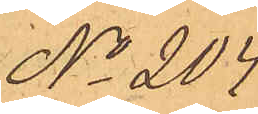No 204.
